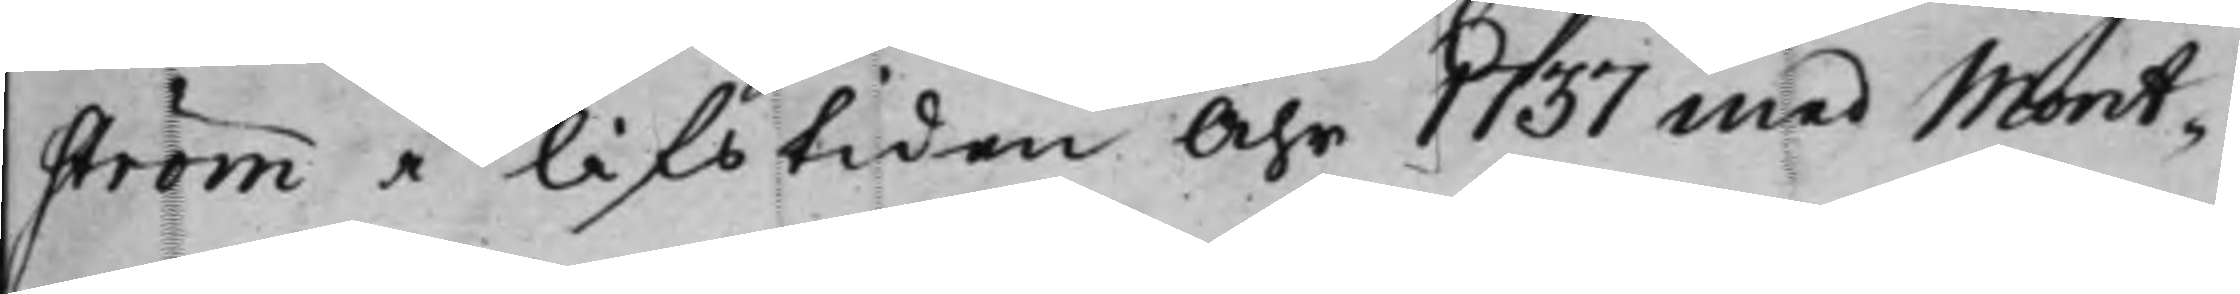ström i lifstiden Åhr 1737 med Mont¬
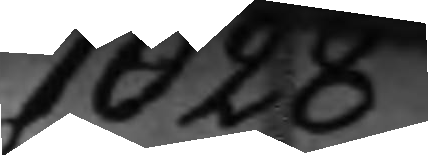1028
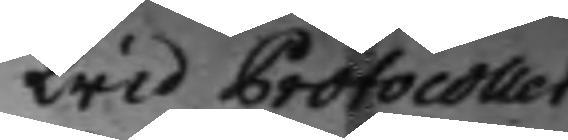Wid Protocollet
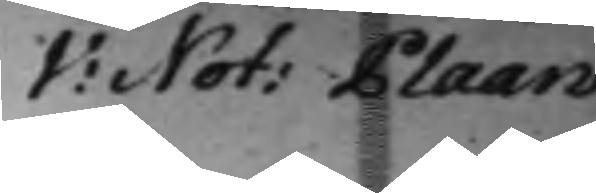V: Not: Plaan.
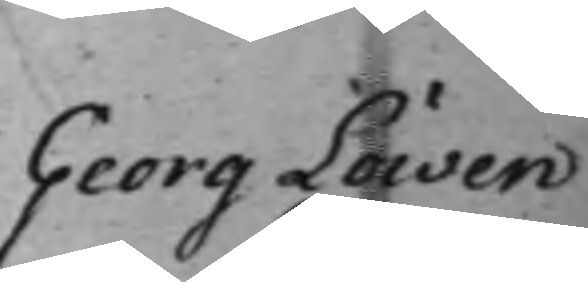Georg Löwen
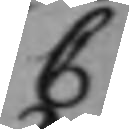C
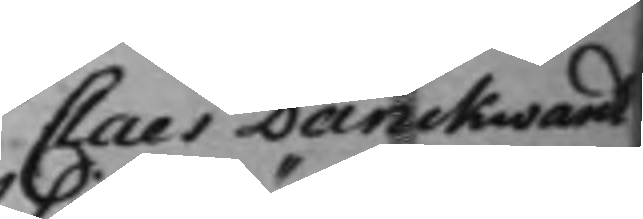Claes Danckwardt
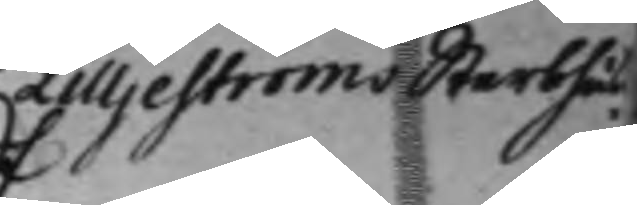Lilljeströms Sterbhus
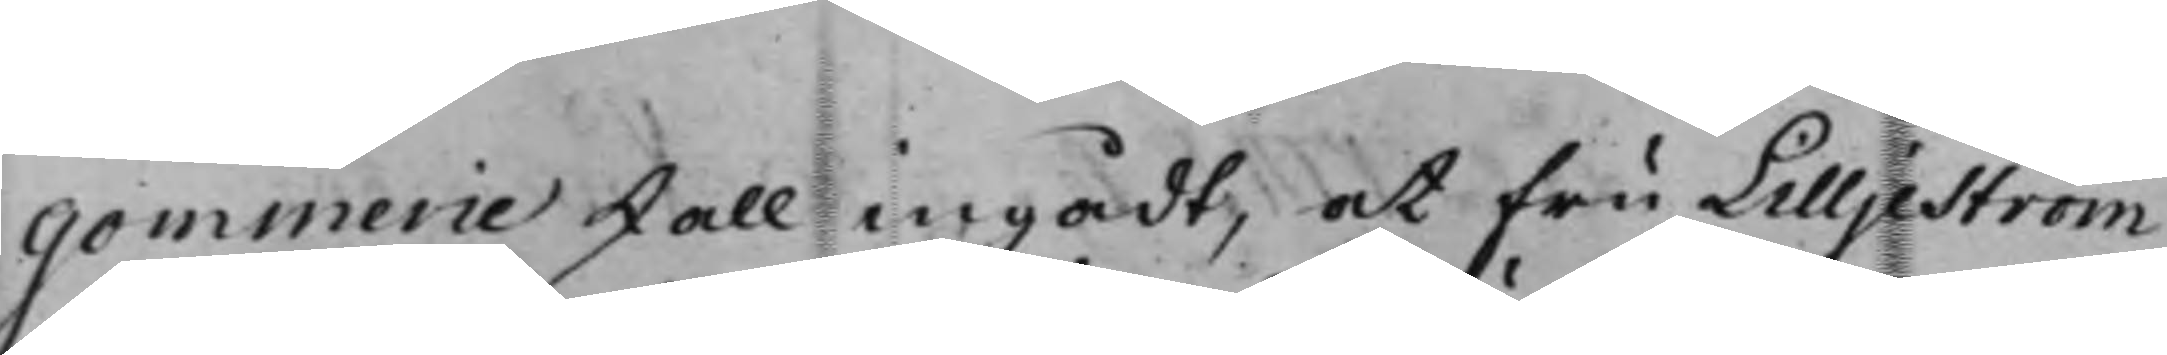gommerie skall ingådt, at Fru Lilljeström
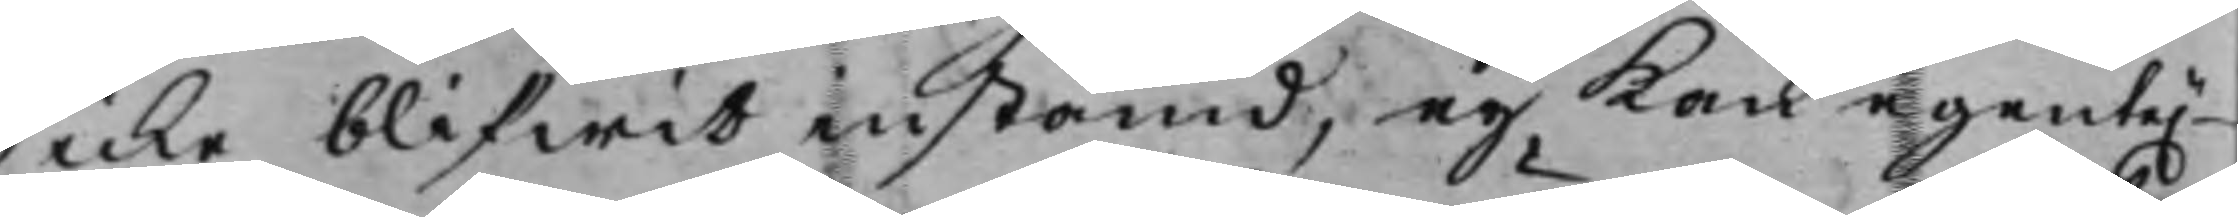icke blifwit instämd, ey kan egente.
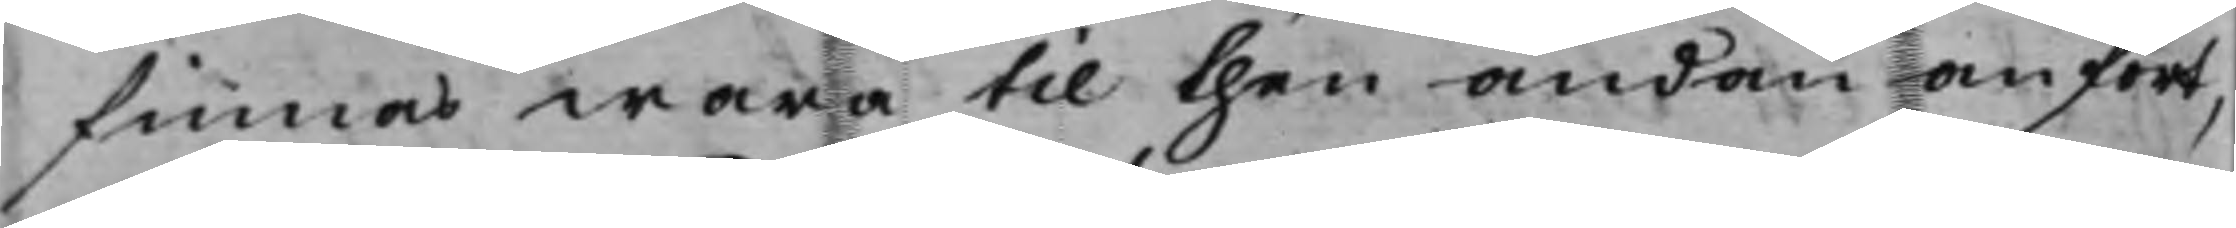finnas wara til then ändan anfört,
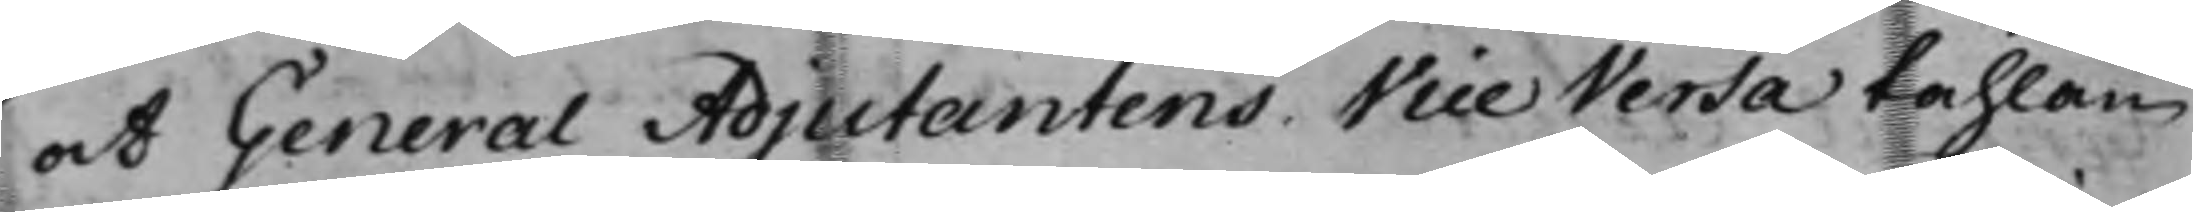at General Adjutantens Vice Versa tahlan
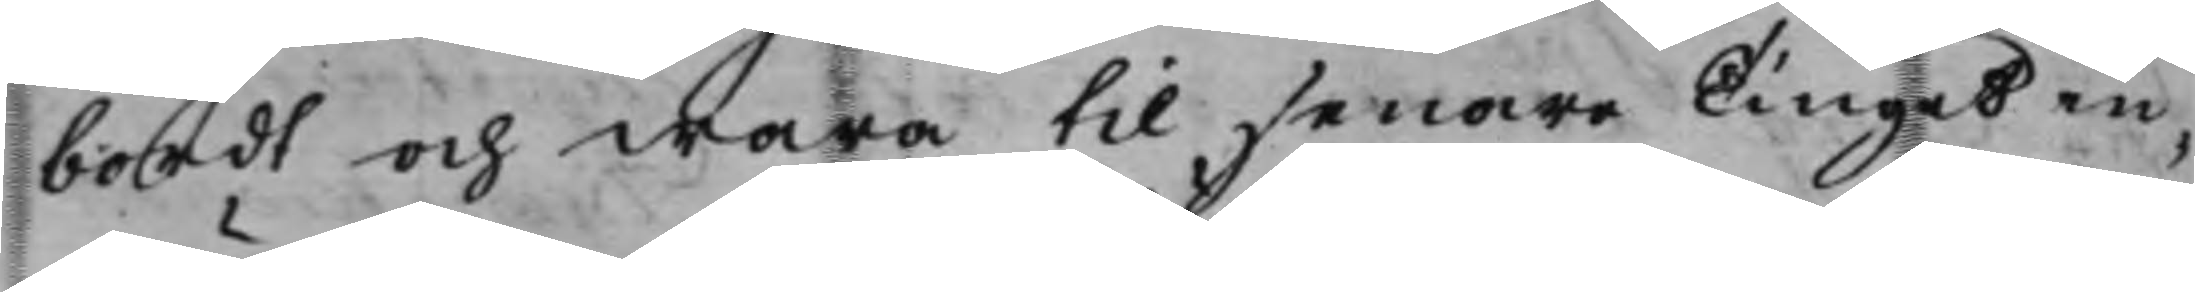bordt och wara till senare Tinget in¬
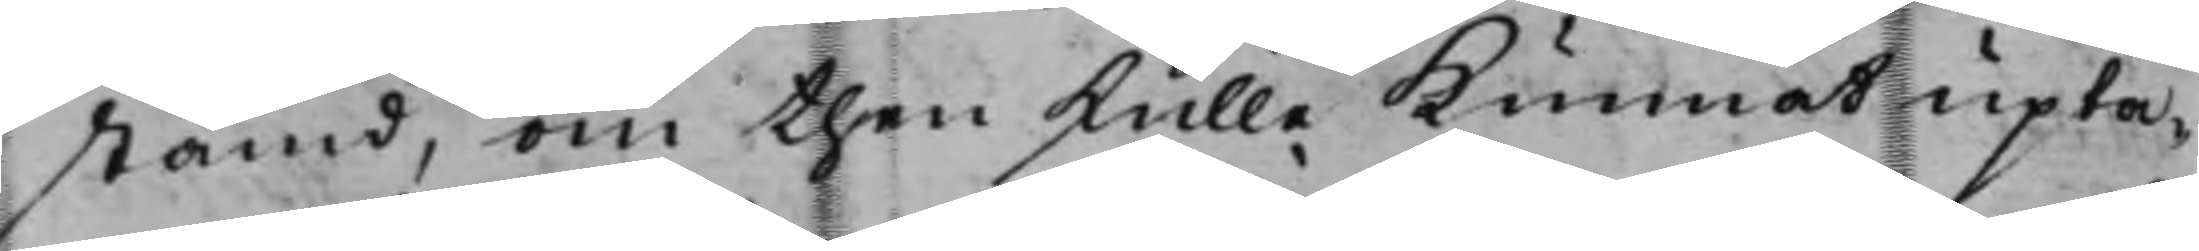stämd, om then skulle kunnat upta¬
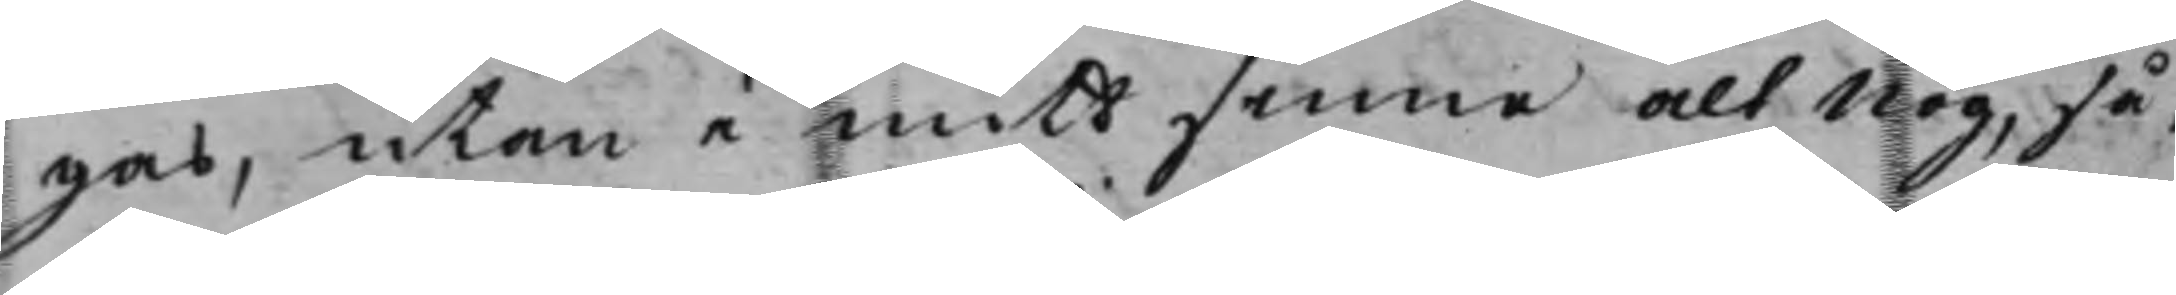gas, utan i mitt sinne alt nog, så¬
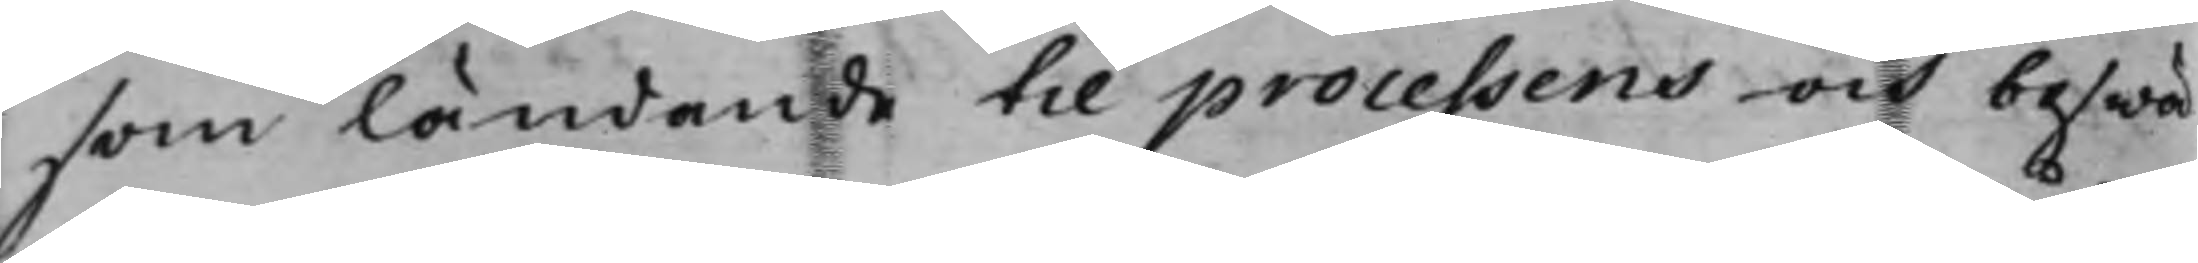som ländande till processens och beswä¬
